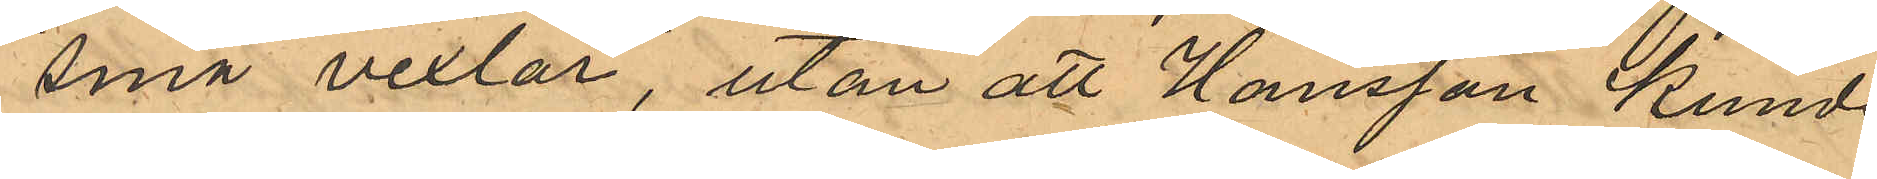"små vexlar", utan att Hansson kunde
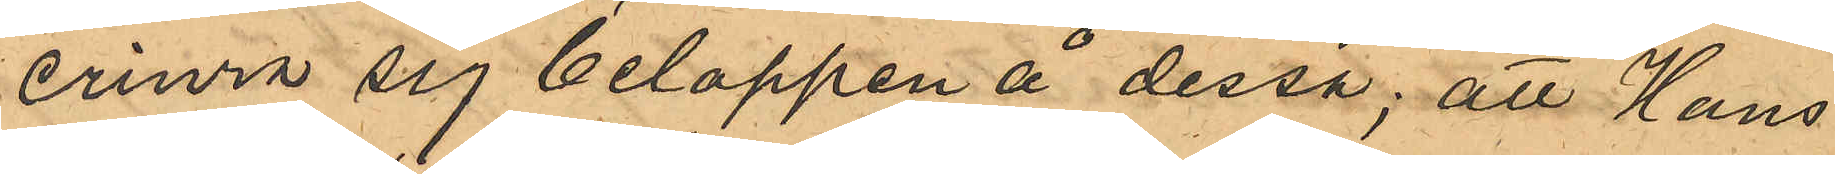erinra sig beloppen å dessa; att Hans¬
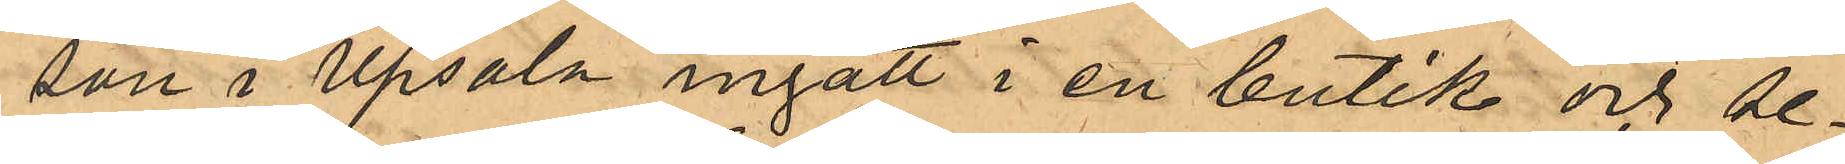son i Upsala ingått i en butik och be¬
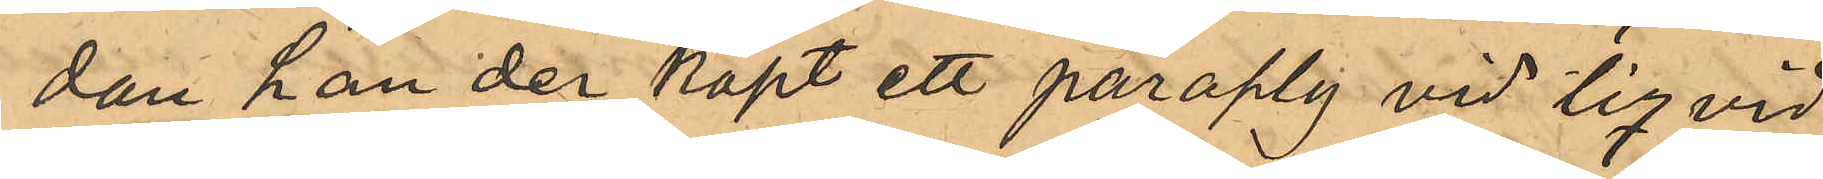dan han der köpt ett paraply vid liqvid
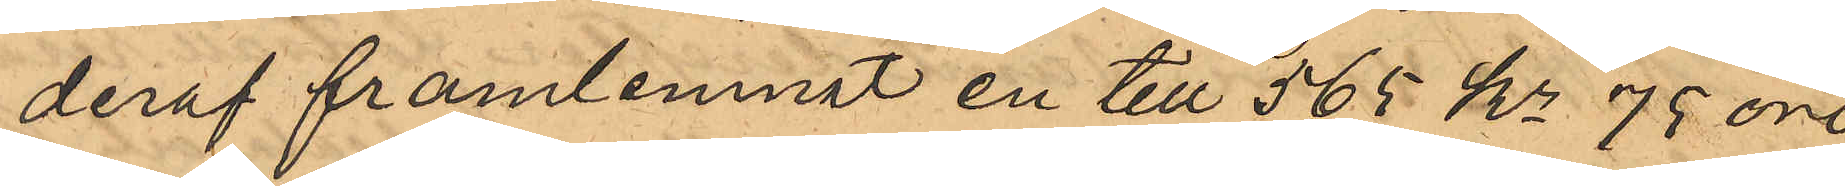deraf framlemnat en till 565 kr 75 öre
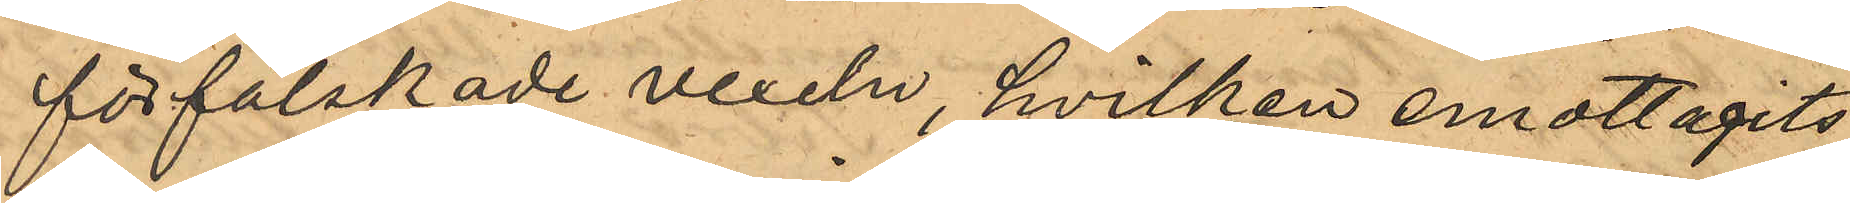förfalskade vexeln, hvilken emottagits,
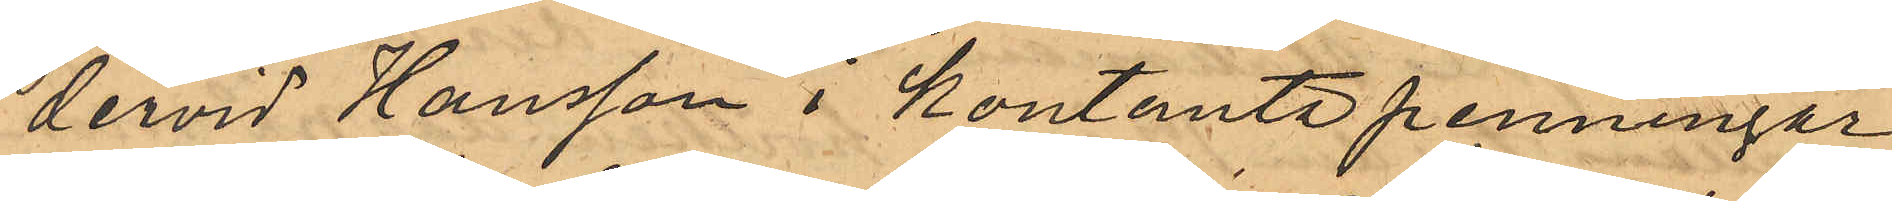dervid Hansson i kontanta penningar
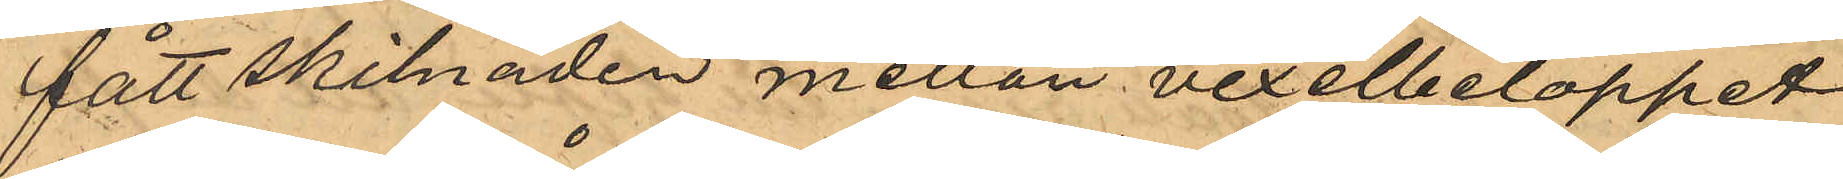fått skilnaden mellan vexelbeloppet
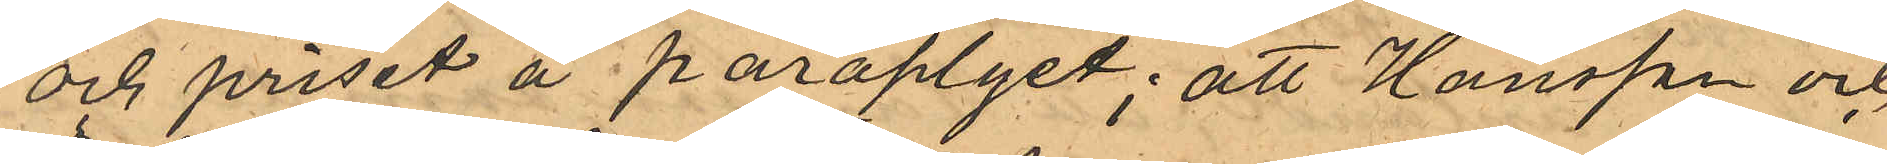och priset å paraplyet; att Hansson och
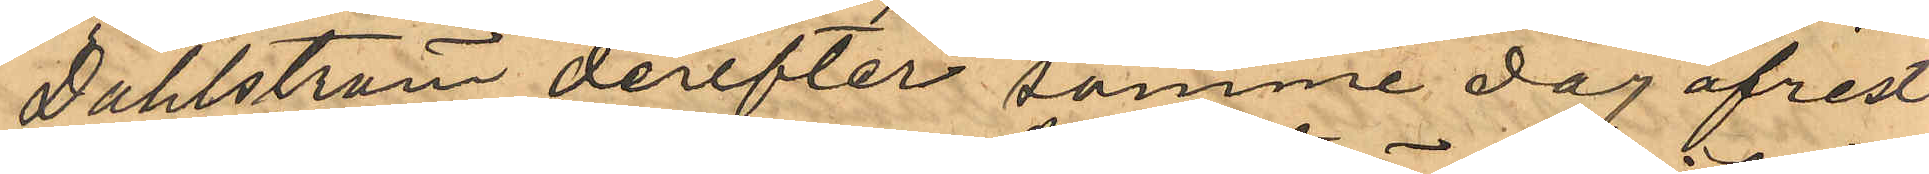Dahlström derefter samme dag afrest
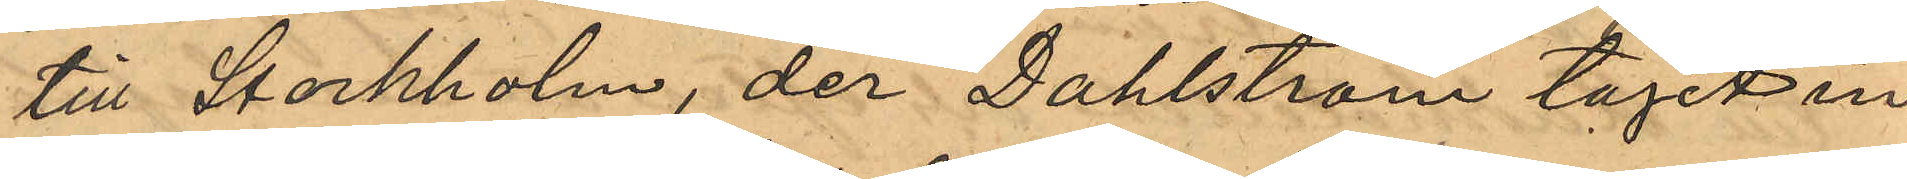till Stockholm, der Dahlström tagit in
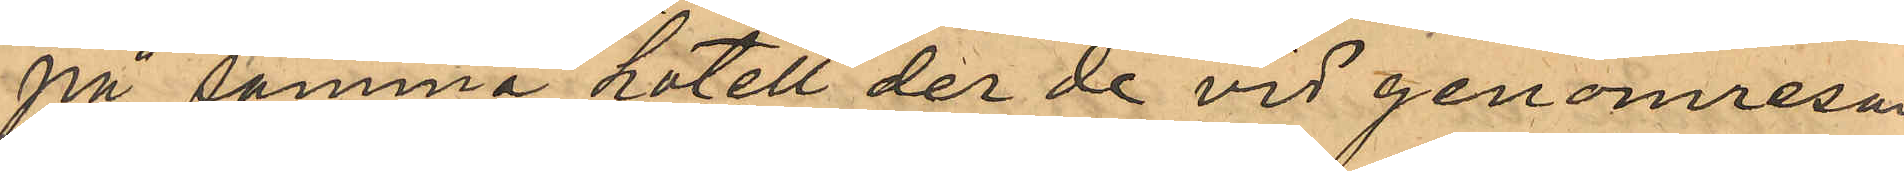på samma kotell der de vid genomresan
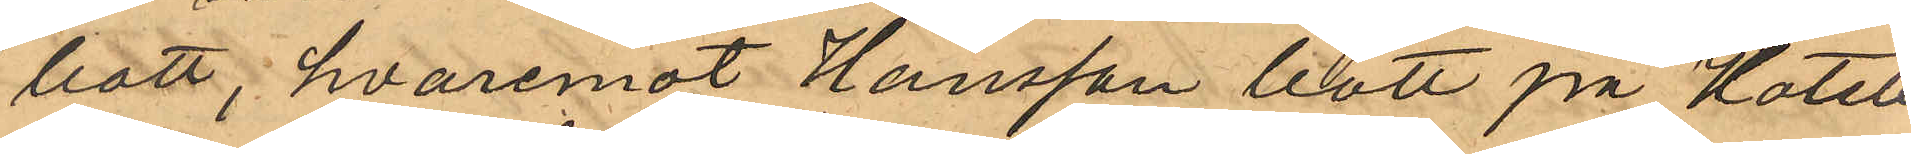bott, hvaremot Hansson bott på Hotell
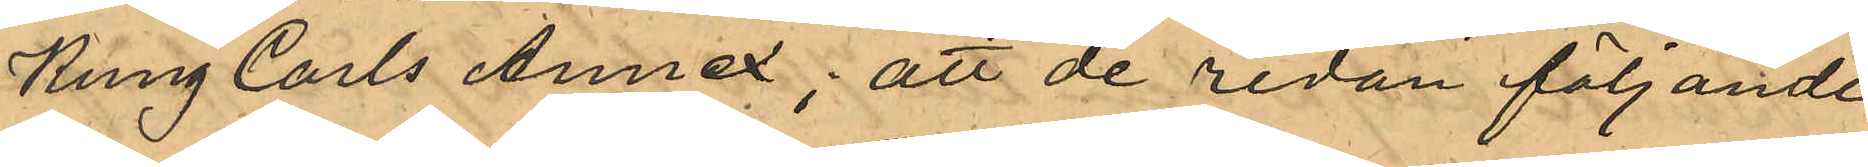Kung Carls Annex; att de redan följande
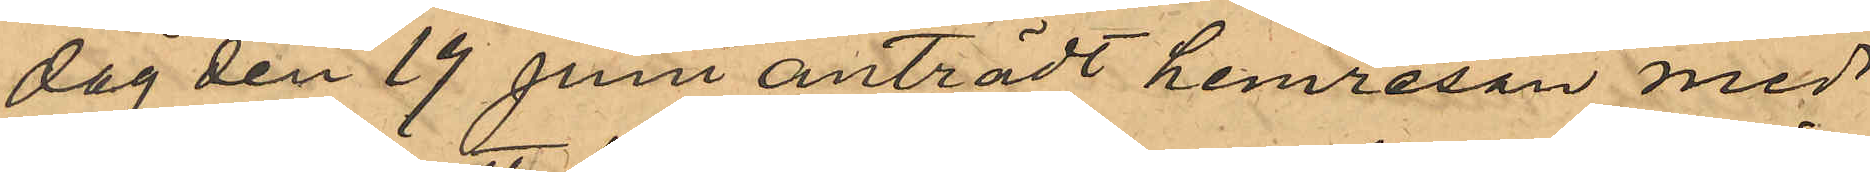dag den 19 Juni anträdt hemresan med
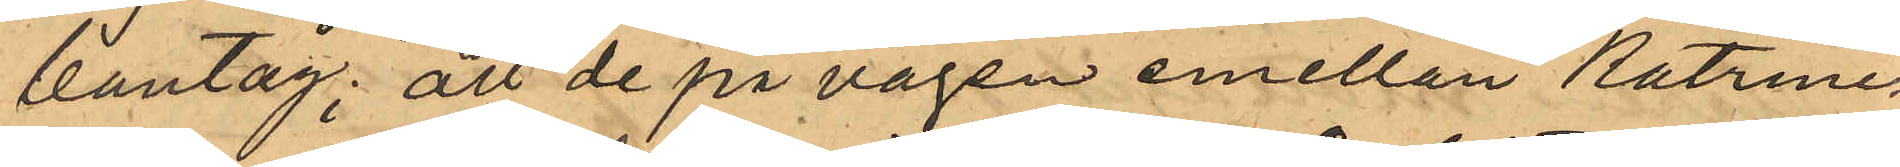bantag; att de på vägen emellan Katrine¬
